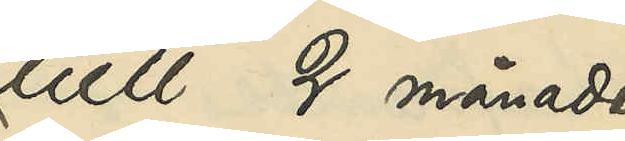tull 2 månader
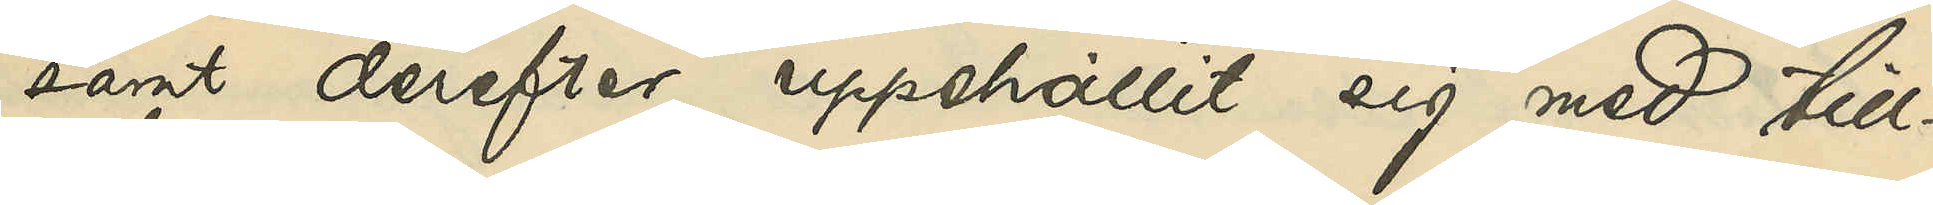samt derefter uppehållit sig med till¬
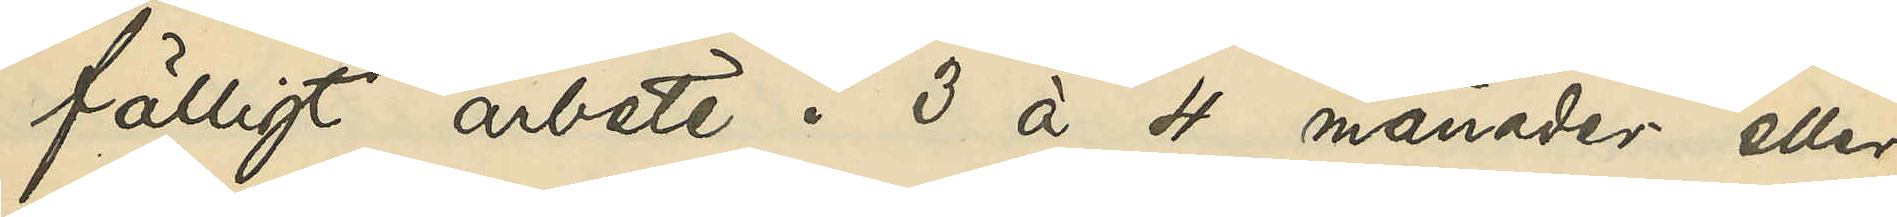fälligt arbete i 3 à 4 månader eller
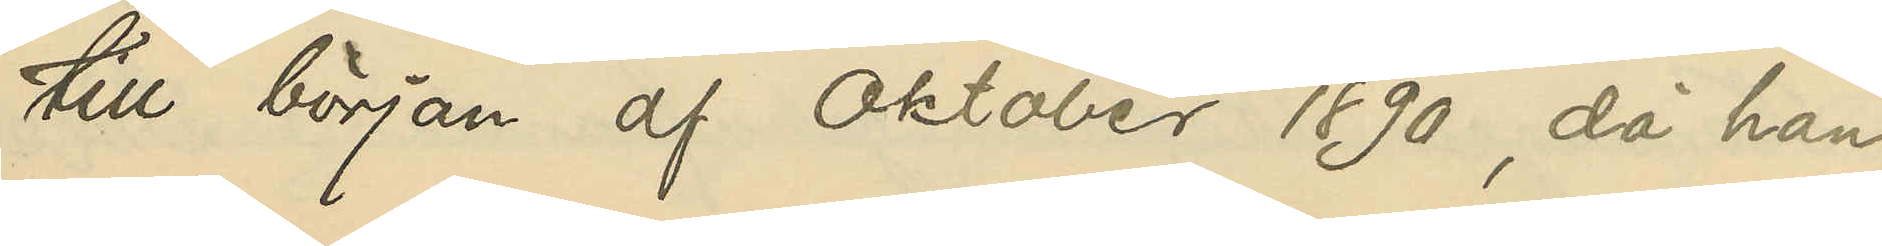till början af Oktober 1890, då han,
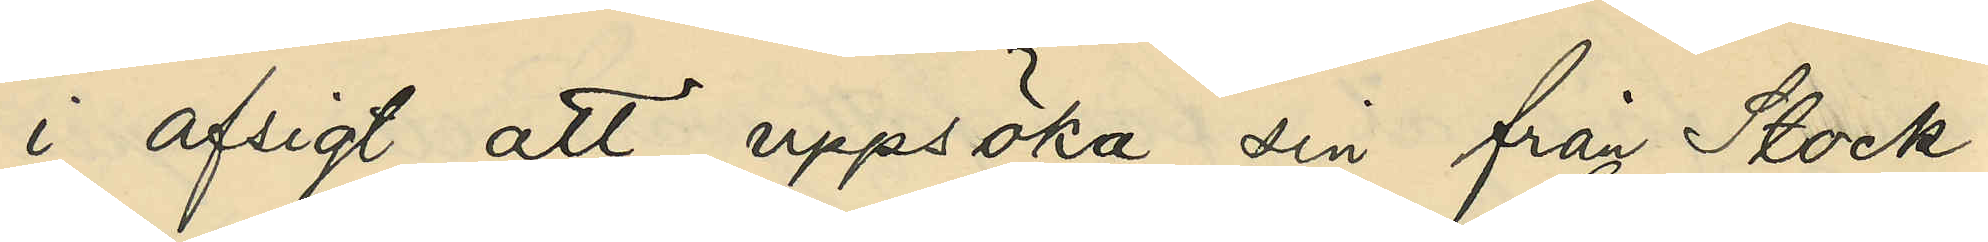i afsigt att uppsöka sin från Stock¬
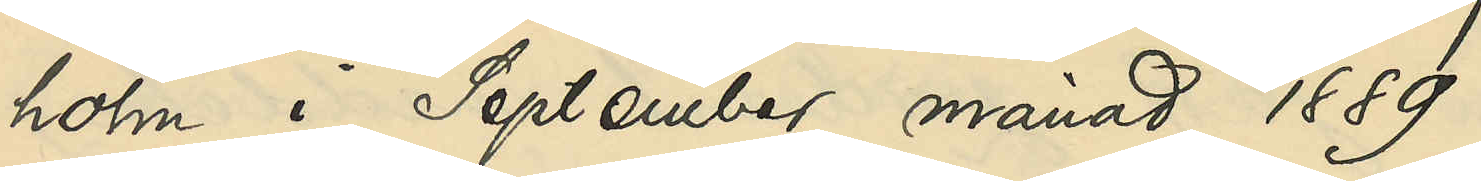holm i September månad 1889
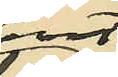bort¬
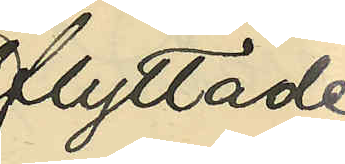flyttade
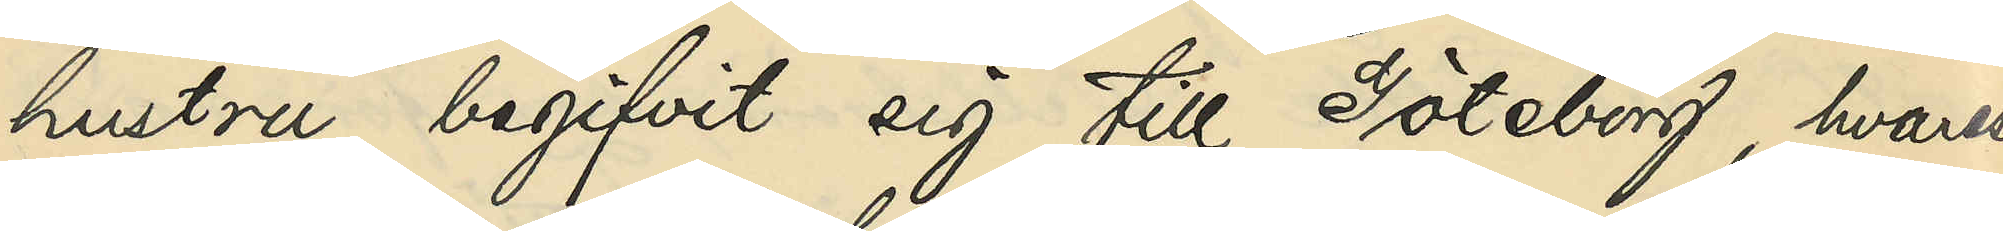hustru begifvit sig till Göteborg, hvarest
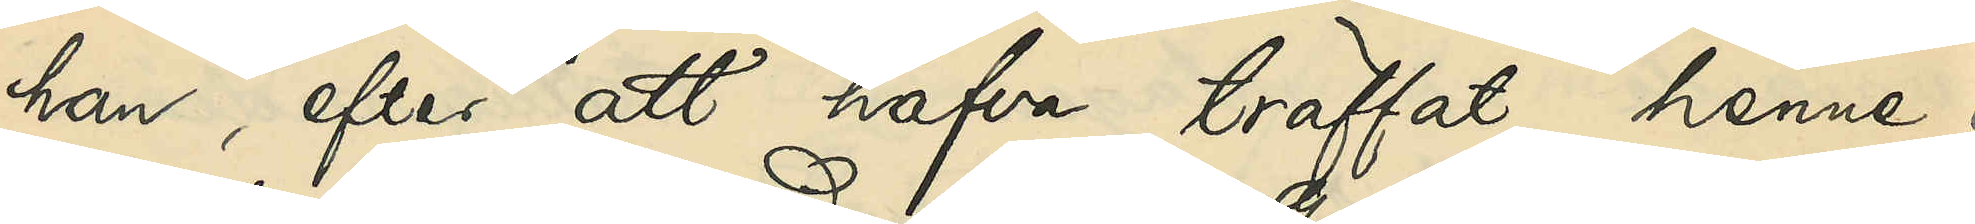han, efter att hafva träffat henne i
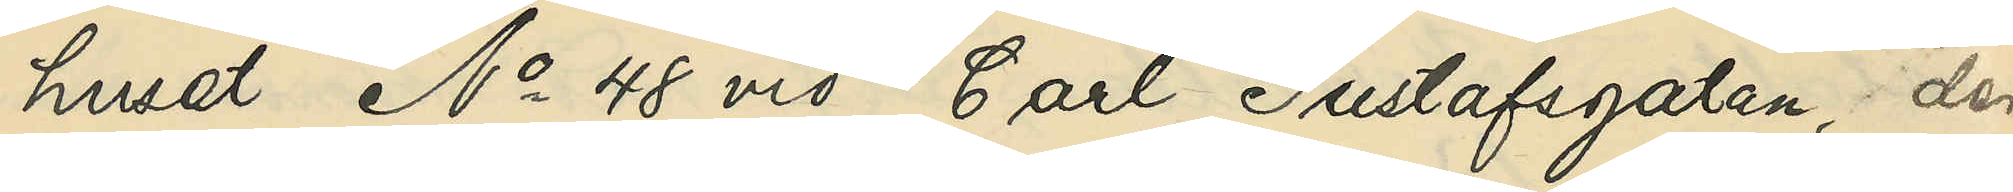huset No 48 vid Carl Gustafsgatan, der
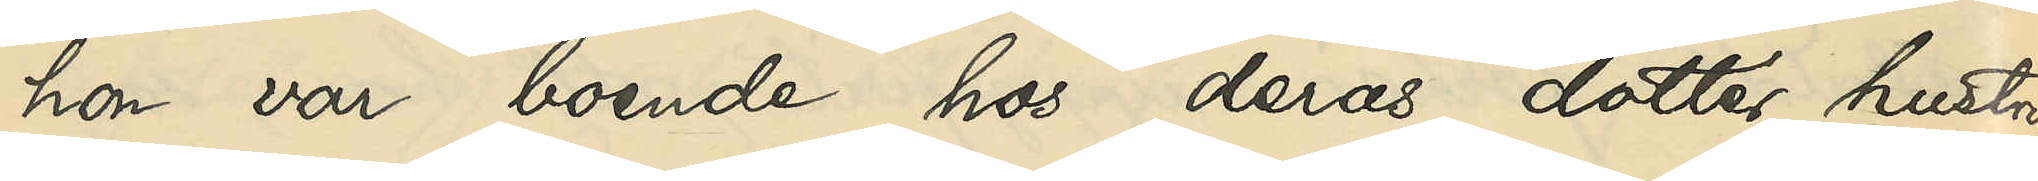hon var boende hos deras dotter, hustrun
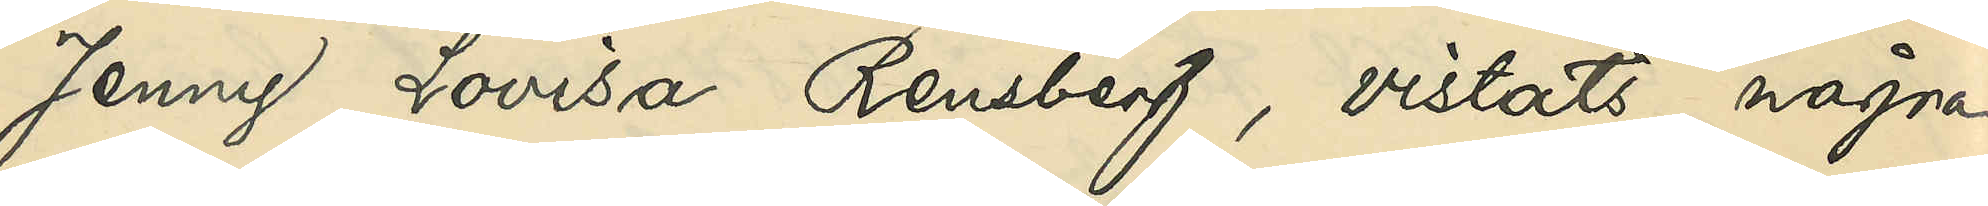Jenny Lovisa Rensberg, vistats några
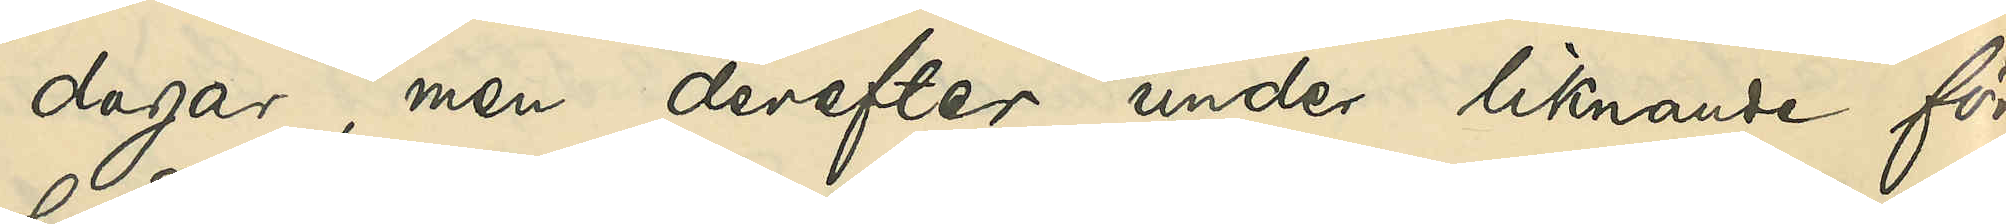dagar, men derefter under liknande för¬
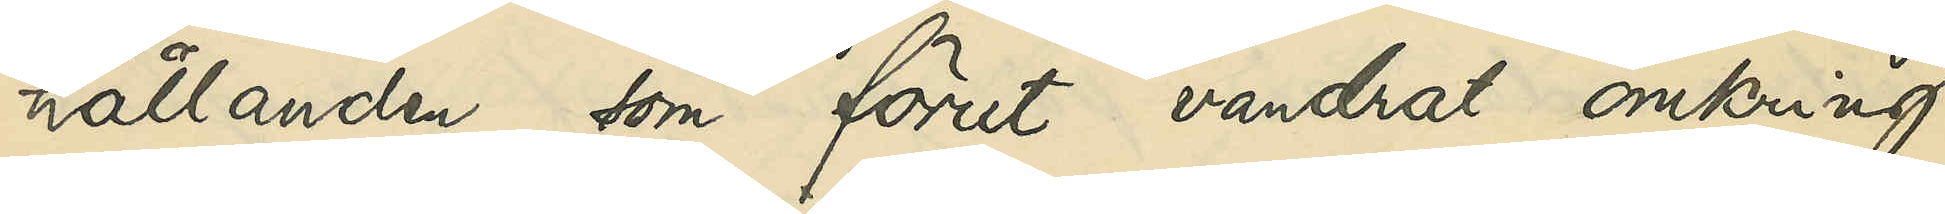hållanden som förut vandrat omkring
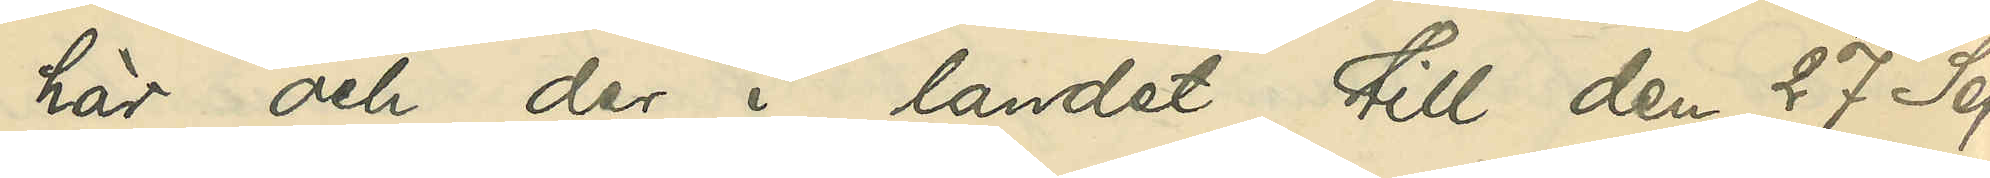här och der i landet till den 27 Sep¬
